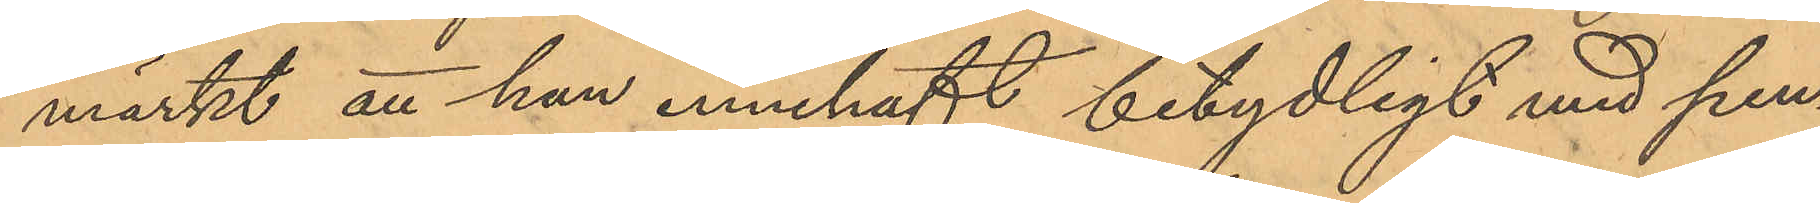märkt att han innehaft betydligt mer pen¬
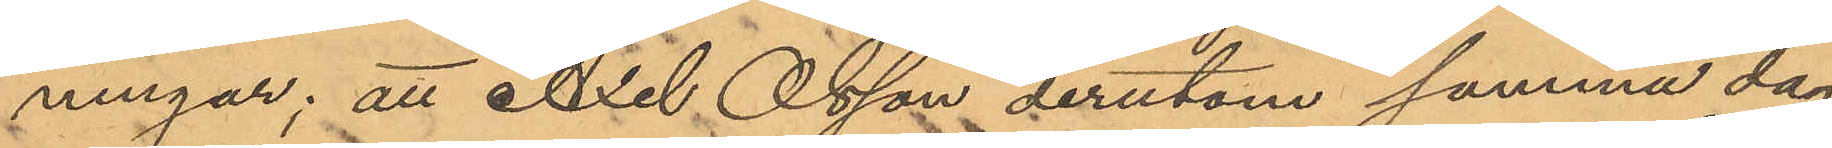ningar; att Axel Olsson derutom samma dag
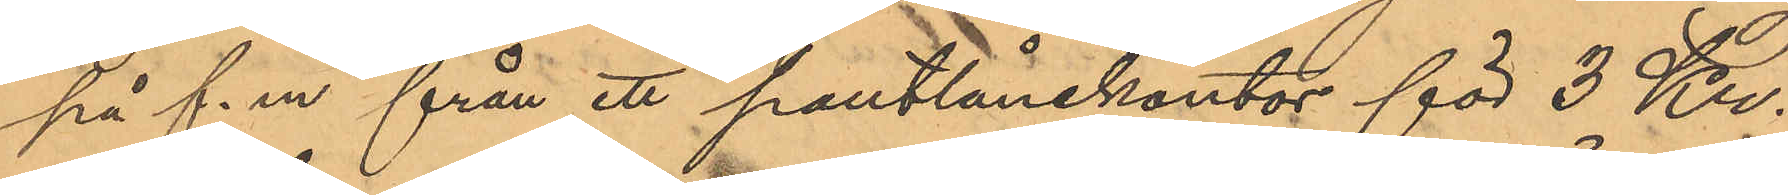på f. m. från ett pantlånekontor för 3 Kr.
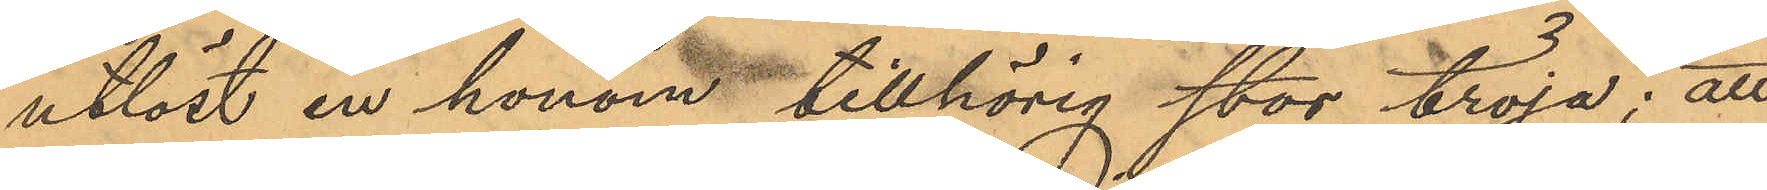utlöst en honom tillhörig stor tröja; att
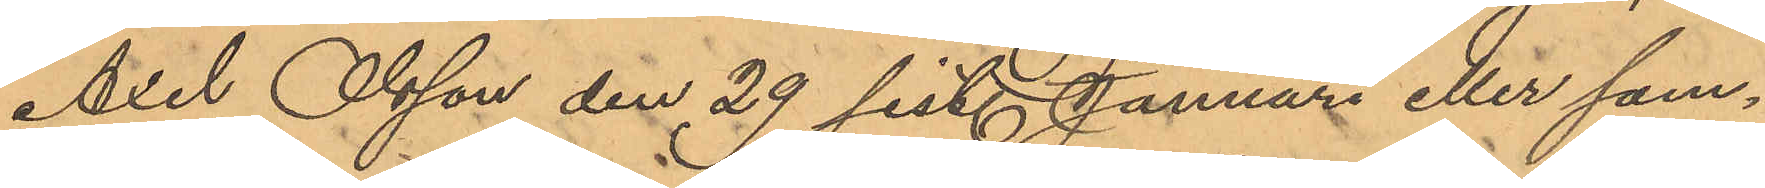Axel Olsson den 29 sist. Januari eller sam¬
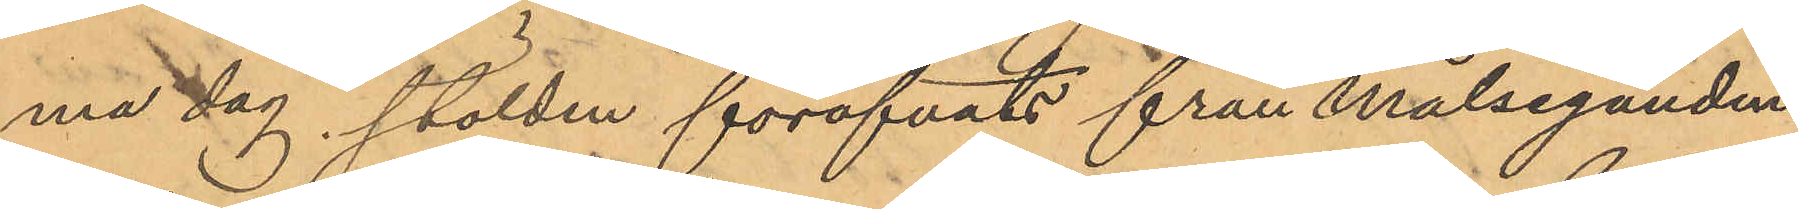ma dag stölden föröfvats från Målseganden
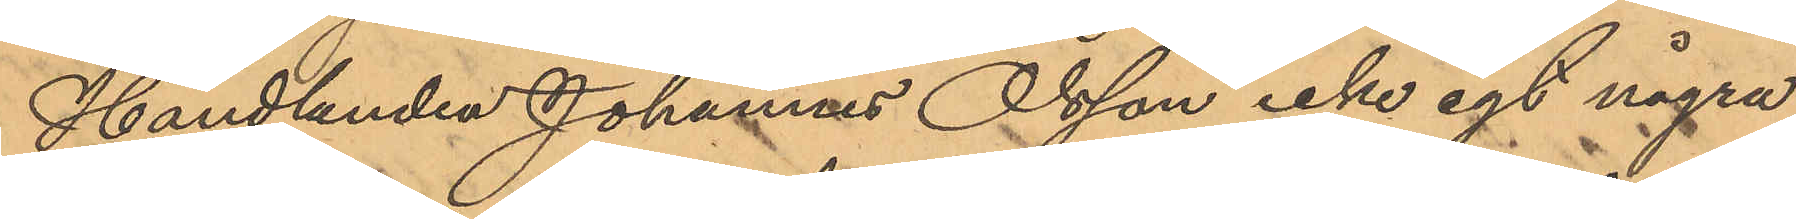Handlanden Johannes Olsson icke egt några
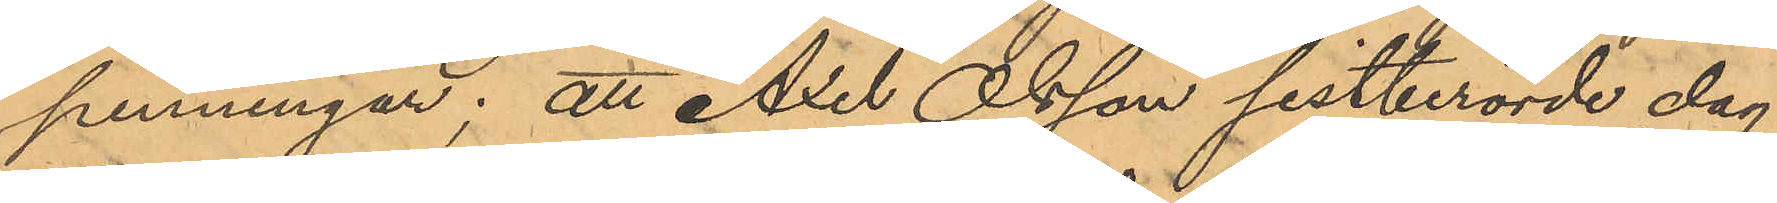penningar; att Axel Olsson sistberörde dag
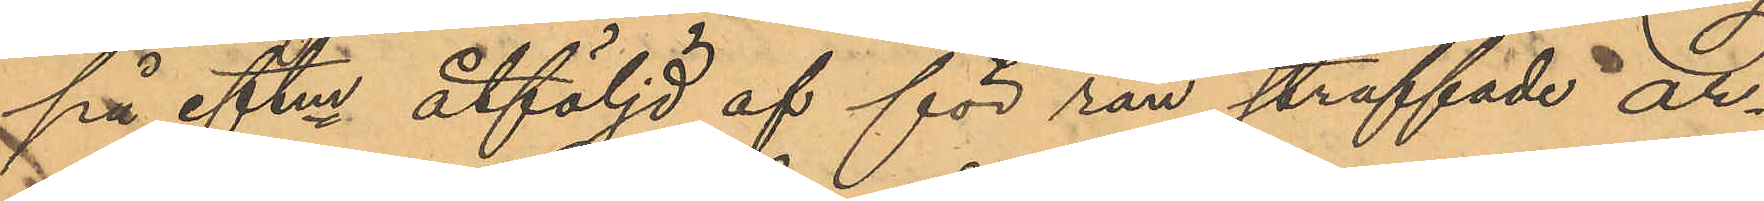på eftm åtföljd af för rån straffade ar¬
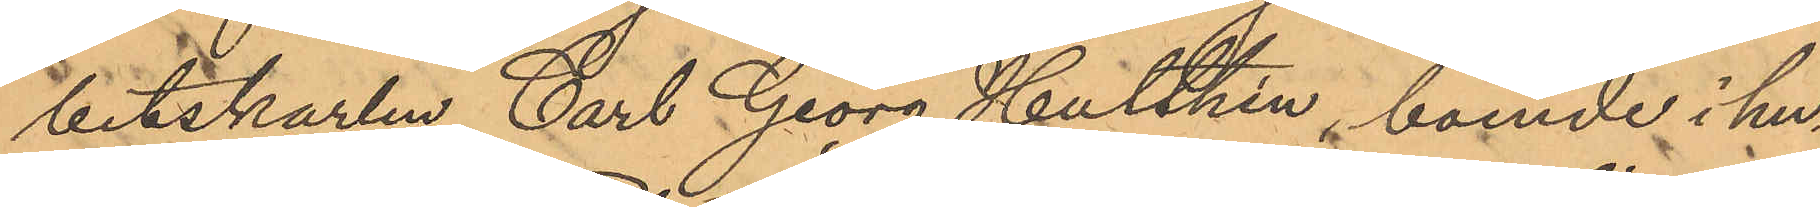betskarlen Carl Georg Hulthén, boende i hu¬
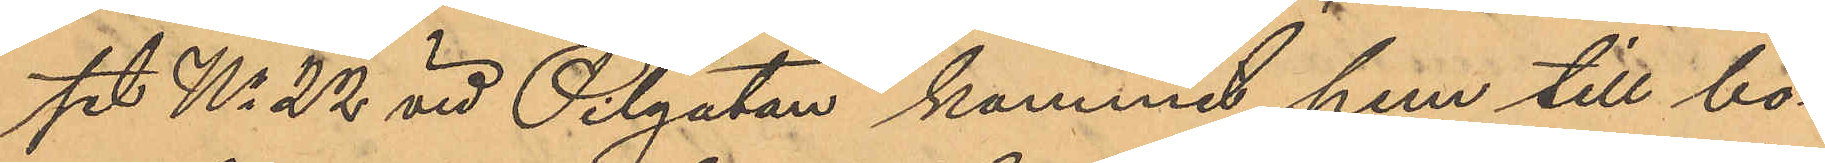set No 22 vid Pilgatan kommit hem till bo¬
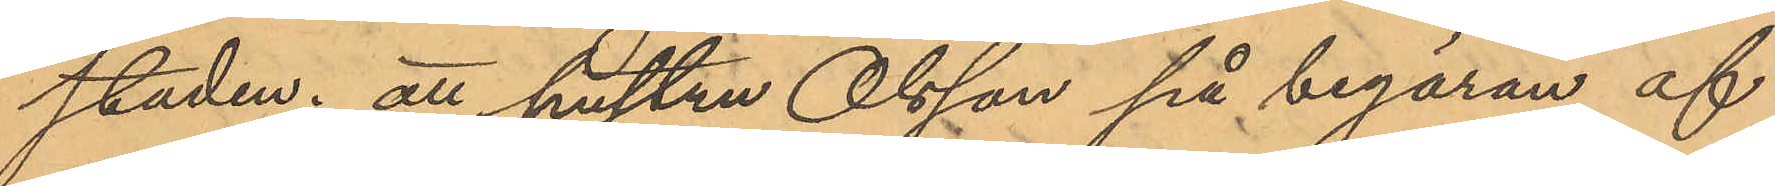staden; att hustru Olsson på begäran af
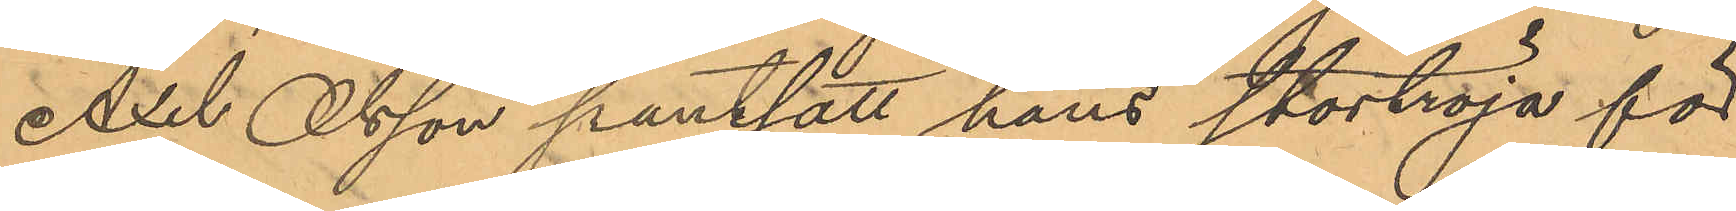Axel Olsson pantsatt hans stortröja för
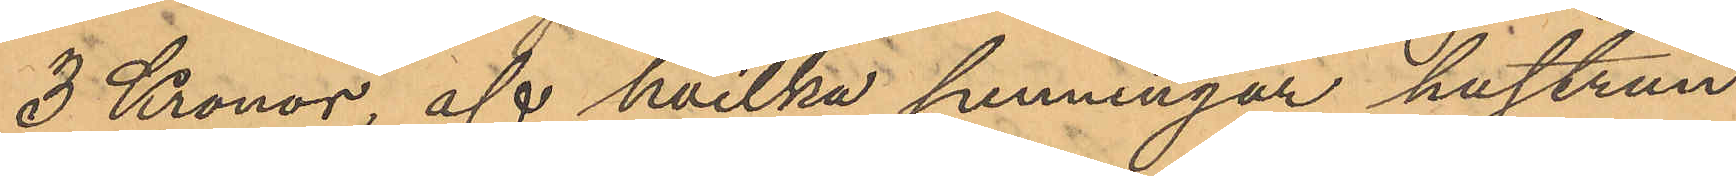3 Kronor, af hvilka penningar hustrun
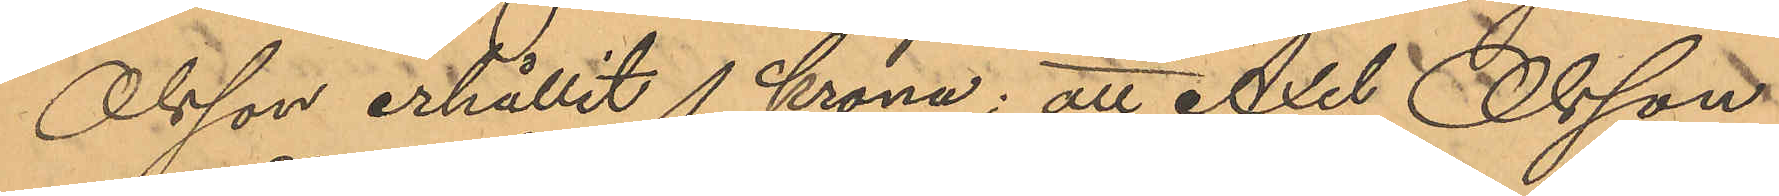Olsson erhållit 1 krona; att Axel Olsson
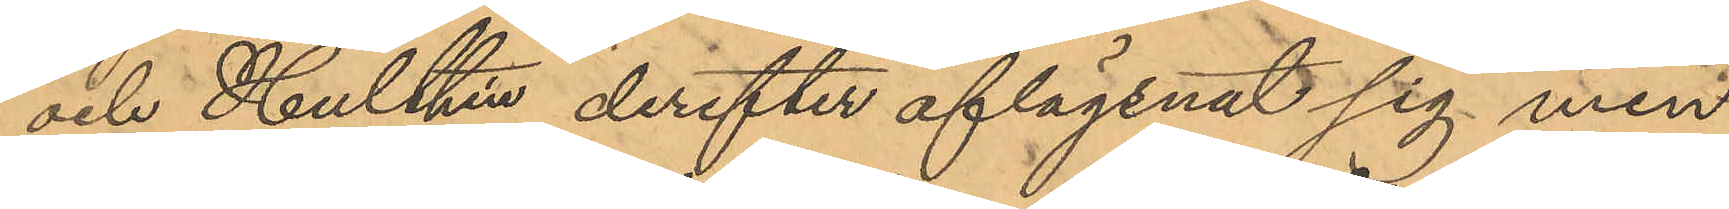och Hulthén derefter aflägsnat sig men
